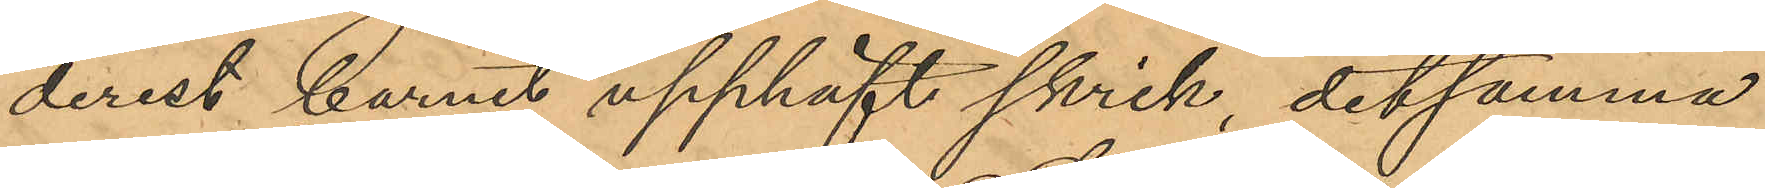derest barnet upphäft skrik, detsamma
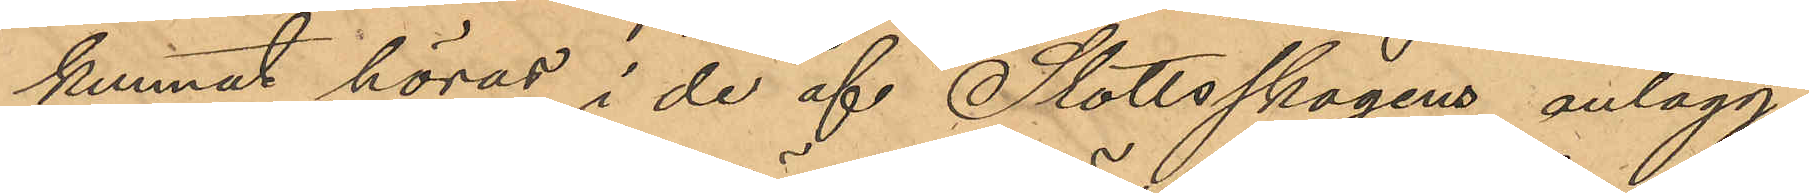kunnat höras i de af Slottsskogens anlägg¬
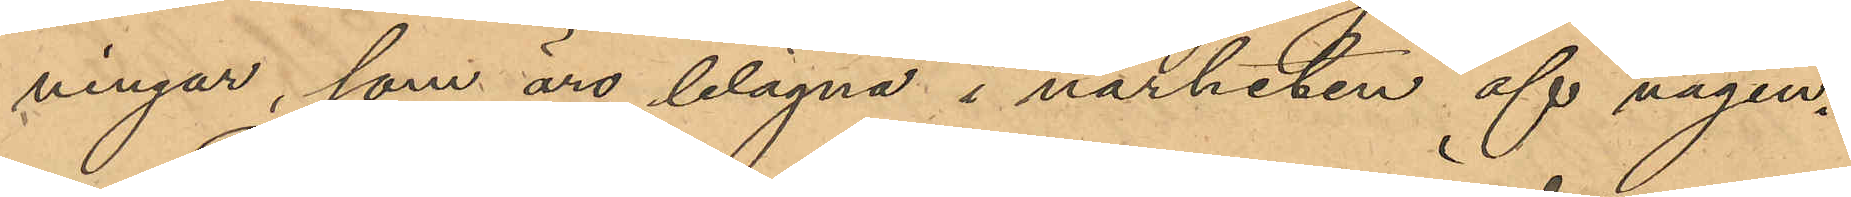ningar, som äro belägna i närheten af vägen.
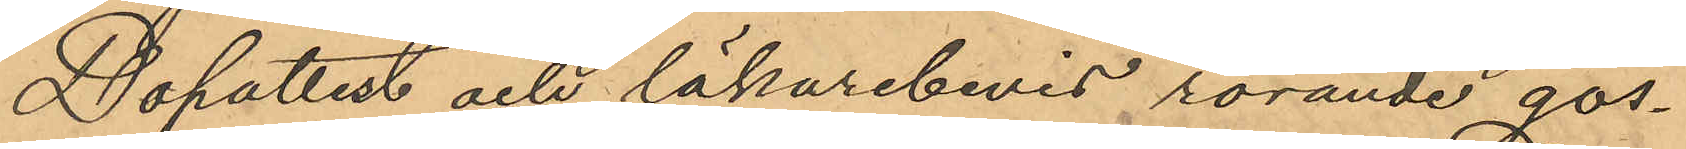Dopattest och läkarebevis rörande gos¬
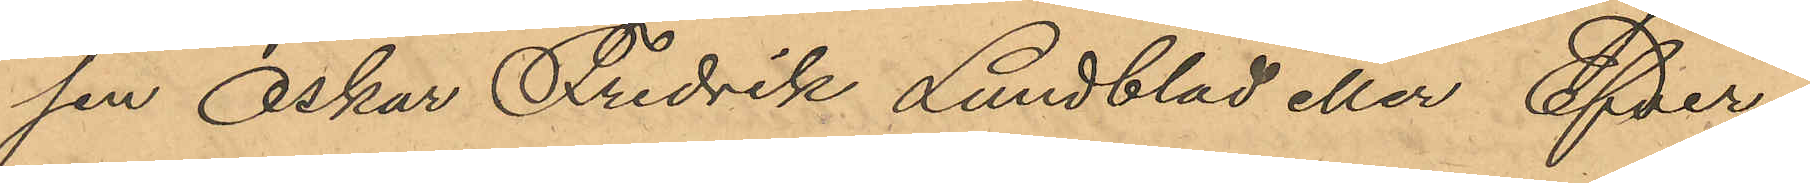sen Oskar Fredrik Lundblad eller Efver¬
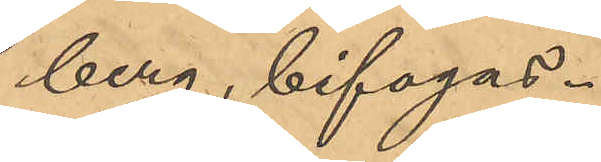berg, bifogas.
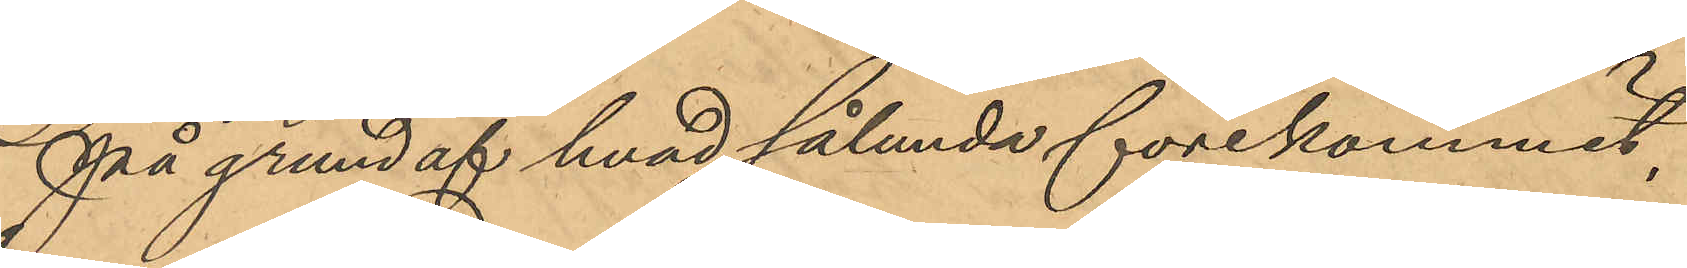På grund af hvad sålunda förekommit,
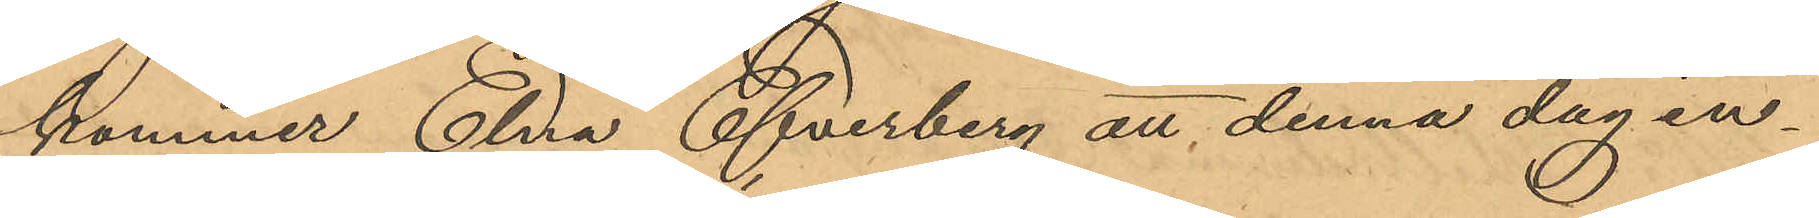kommer Elra Efverberg att denna dag in¬
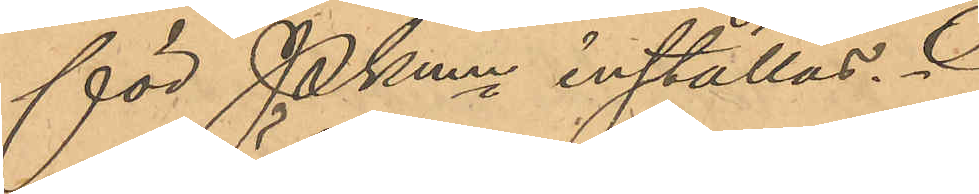för PKmn inställas.
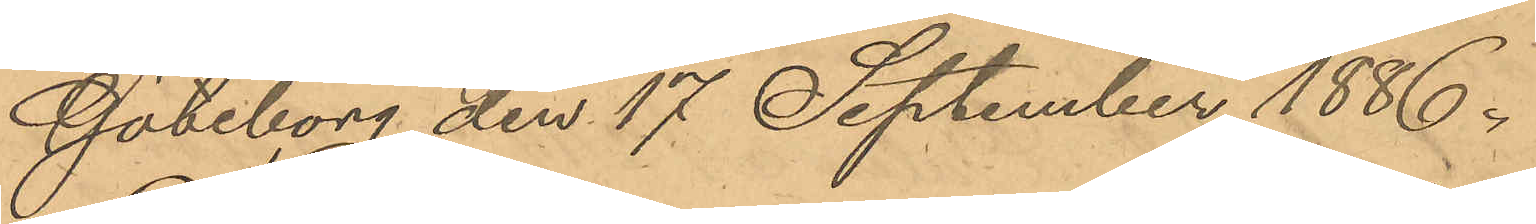Göteborg den 17 September 1886.
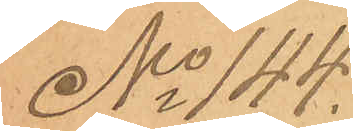No 144.
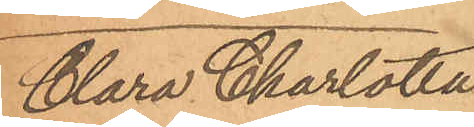Clara Charlotta
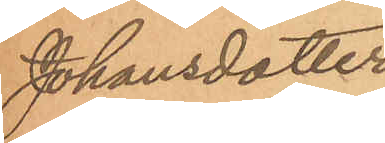Johansdotter
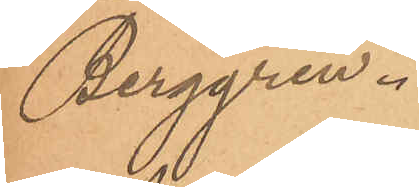Berggren.
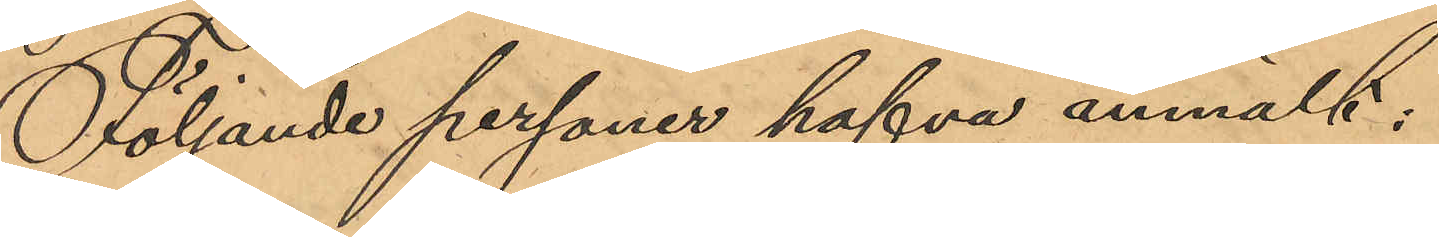Följande personer hafva anmält:
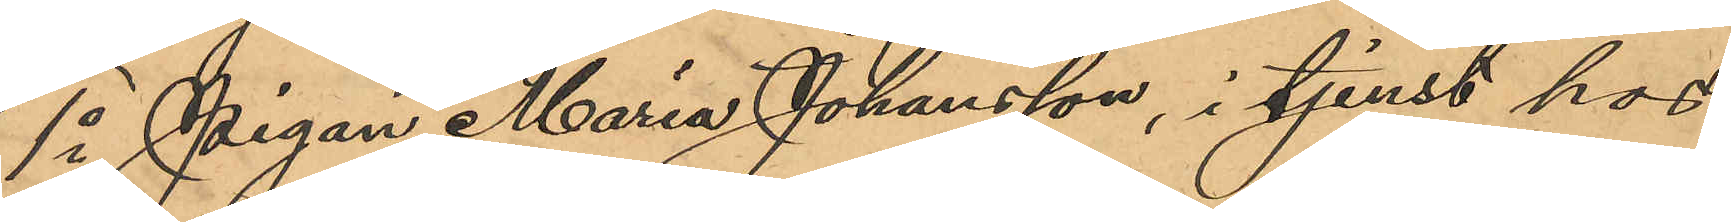1o Pigan Maria Johansson, i tjenst hos
